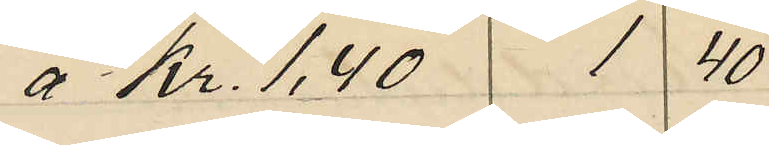á 2 Kr. 1,40 140
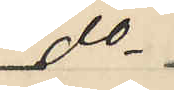do
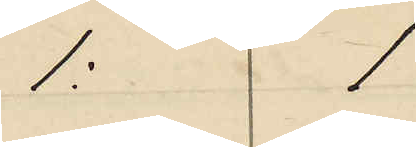1: 1
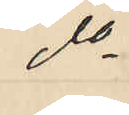do
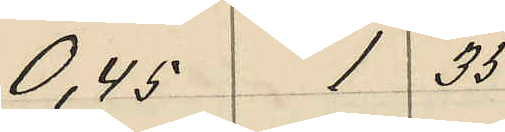0,45 1 35
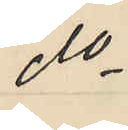do
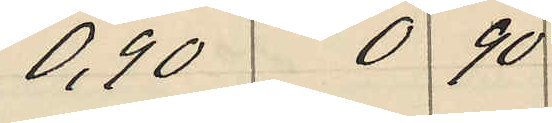0,90 0 90
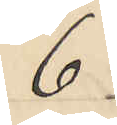6
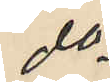do
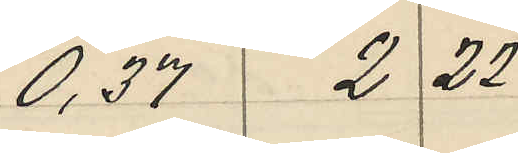0,37 2 22
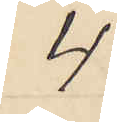4
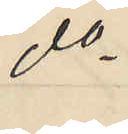do
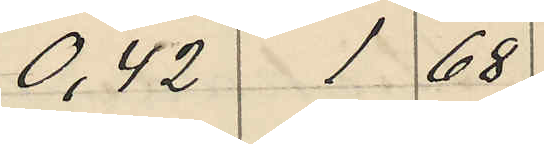0,42 1 68
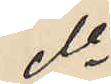do
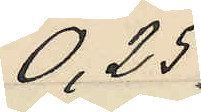0,25
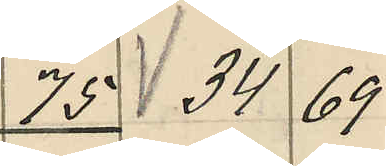75 34 69
